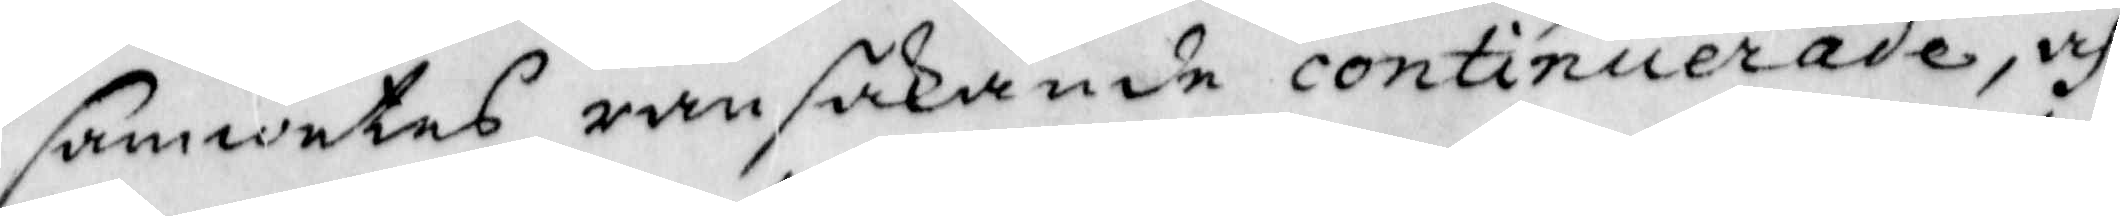samwetes ransakande continuerade, och
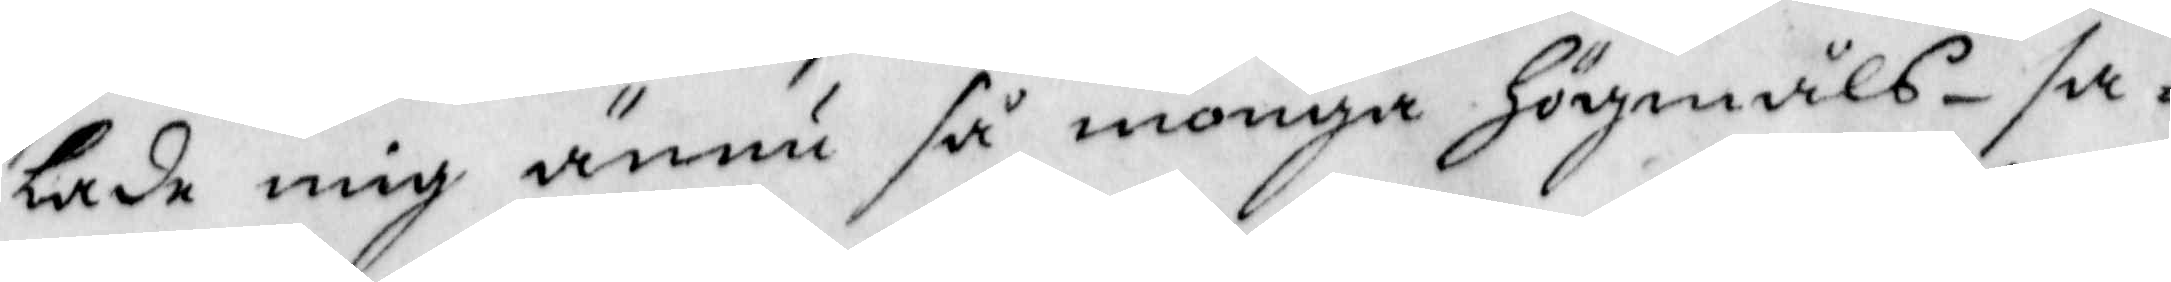lade mig ännu så monga Högmåls-sa¬
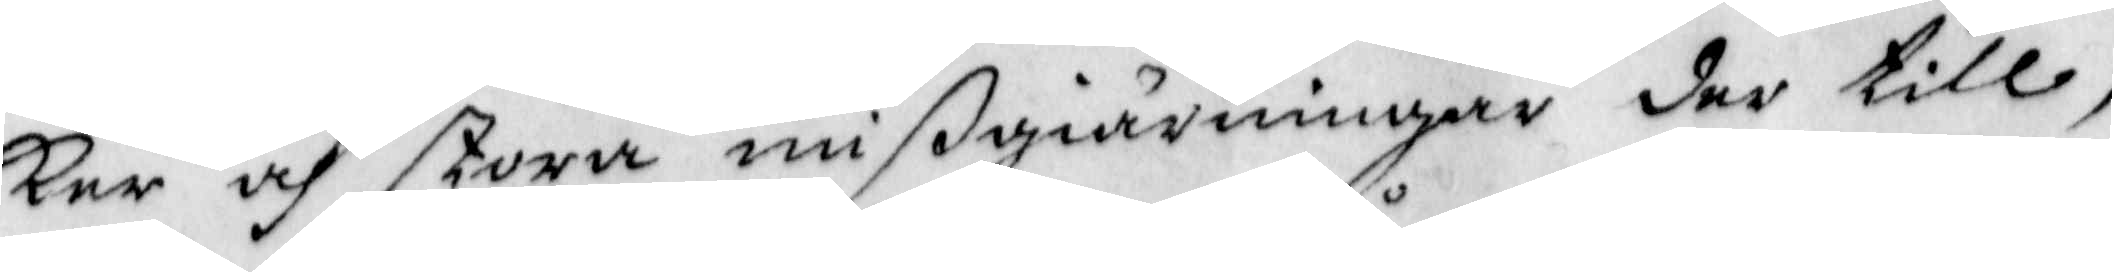ker och stora mißgiärningar der till,
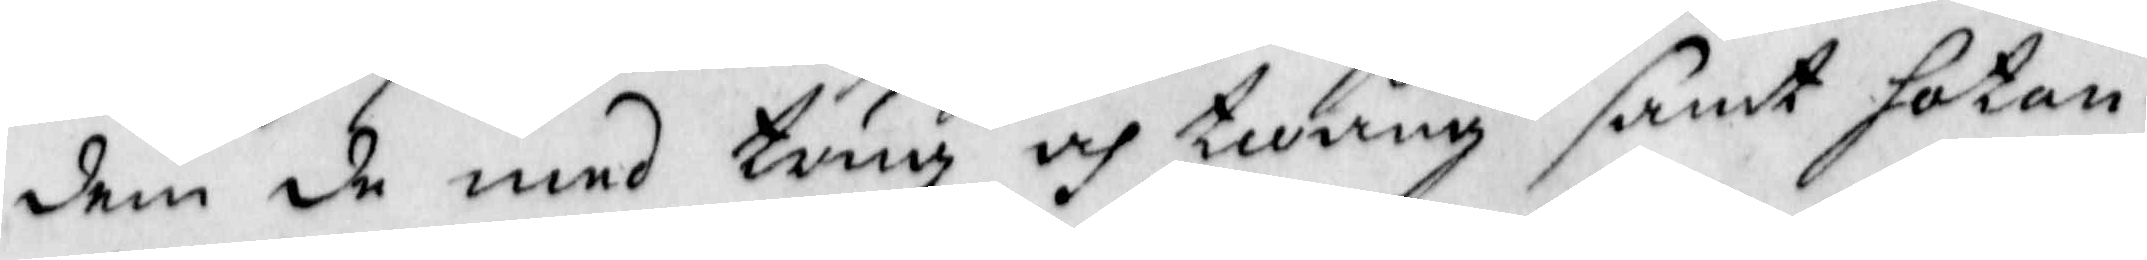dem de med trug och twång samt hotan¬
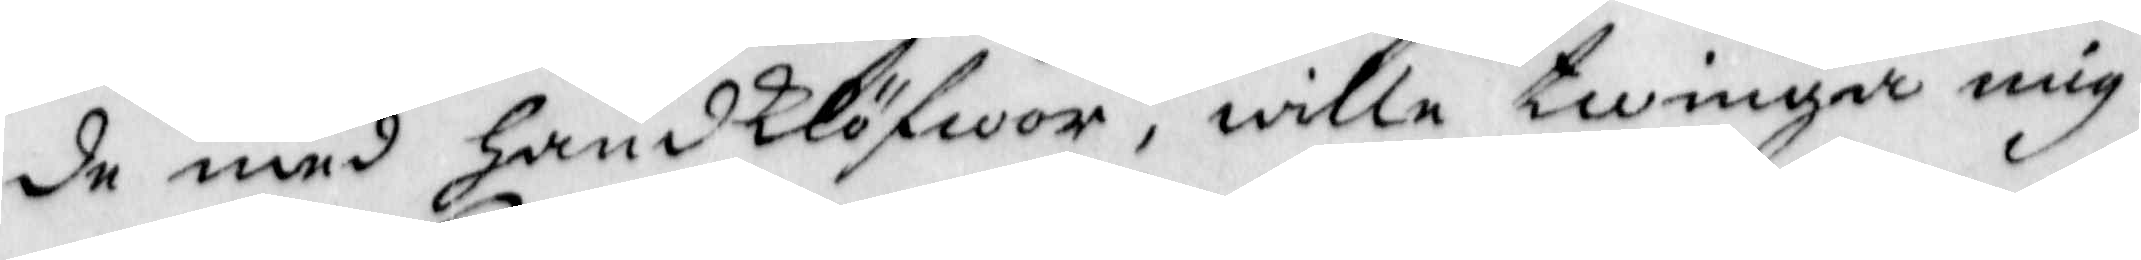de med handklöfwor, wille twinga mig
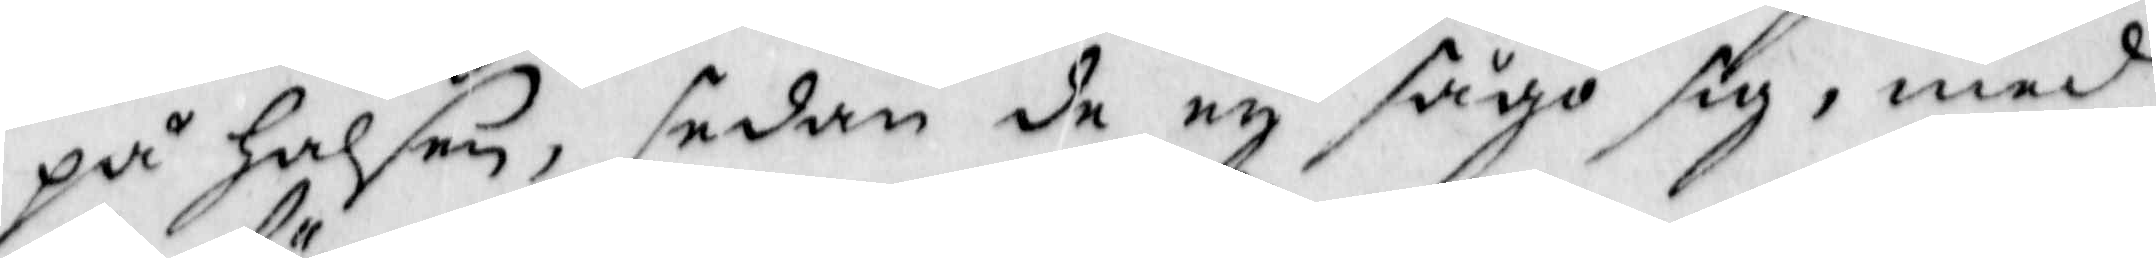på Halsen, sedan de ey sågo sig, med
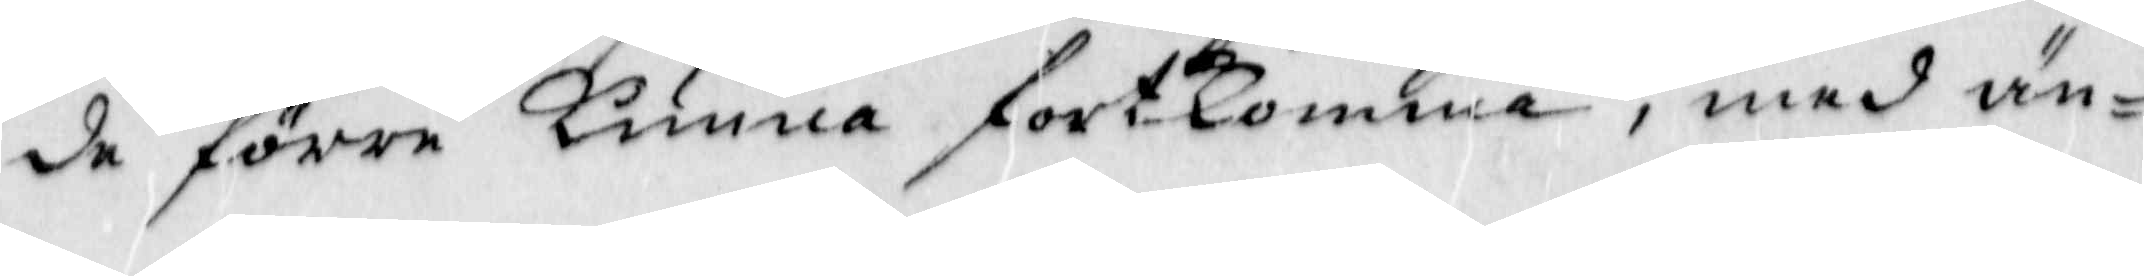de förre kunna fortkomma, med än¬
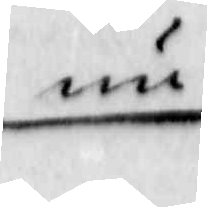nu
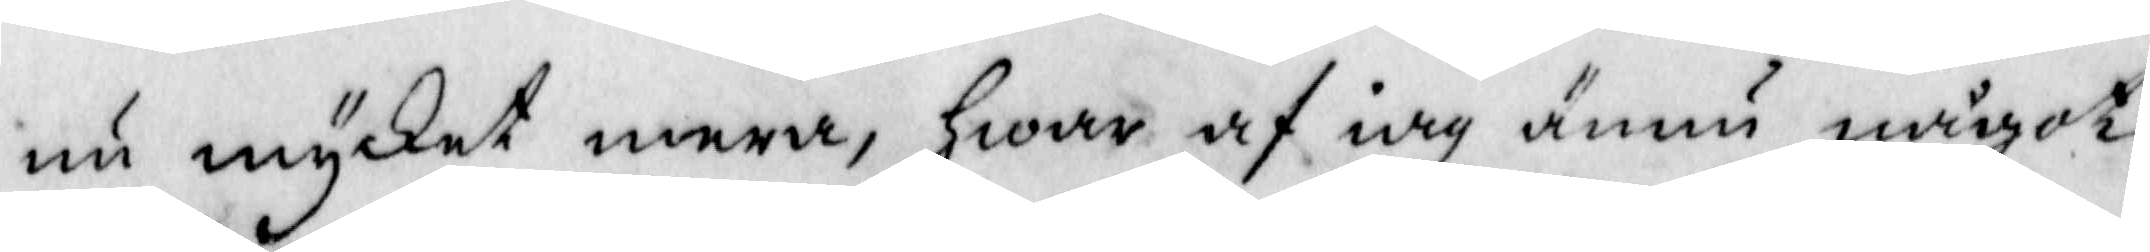nu mycket mera, Hwar af iag ännu något
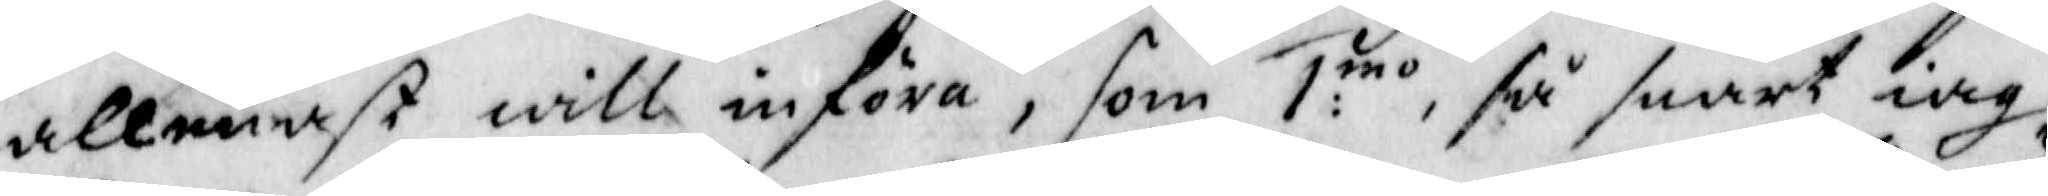allenast will införa, som 1:mo, så snart iag
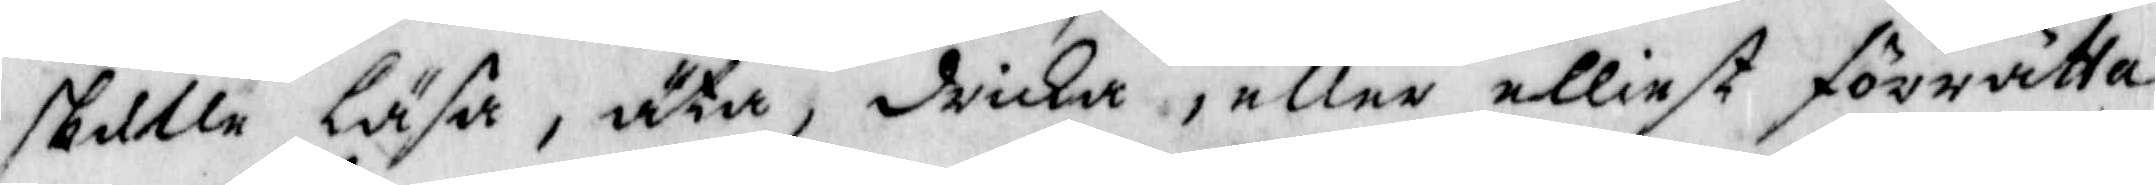skulle läsa, äta, drika, eller elliest förrätta
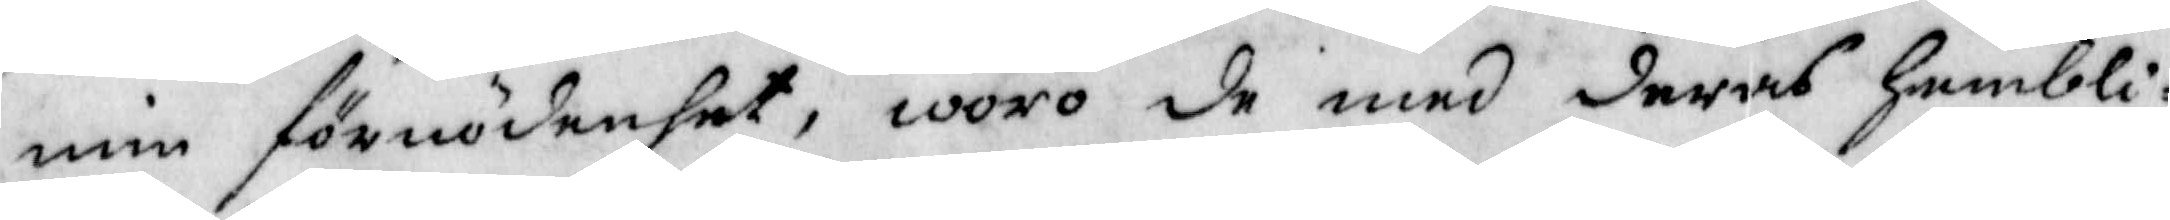min förnödenhet, woro de med deras Hembli¬
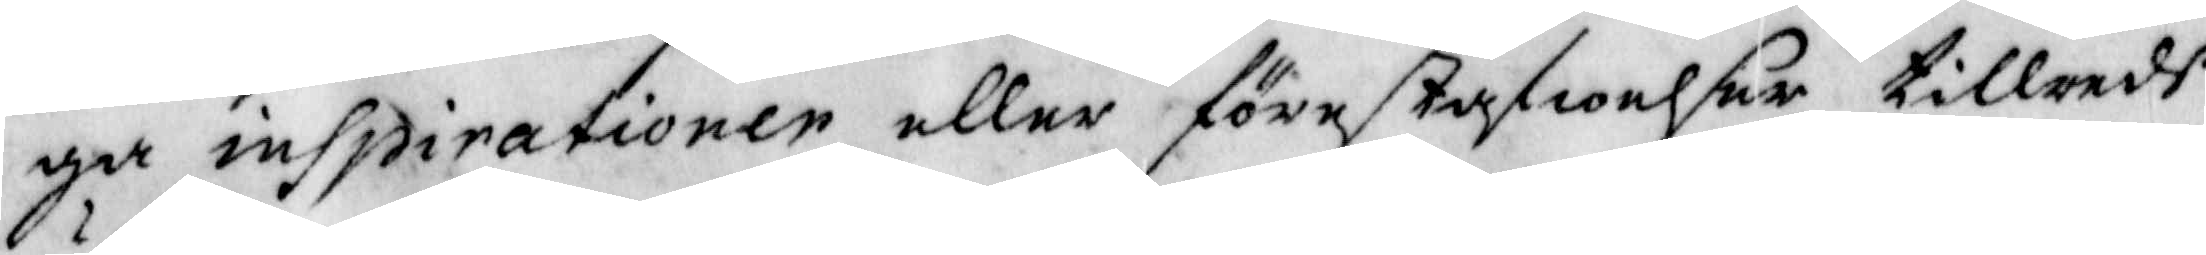ga inspirationer eller förestafwelser tillreds
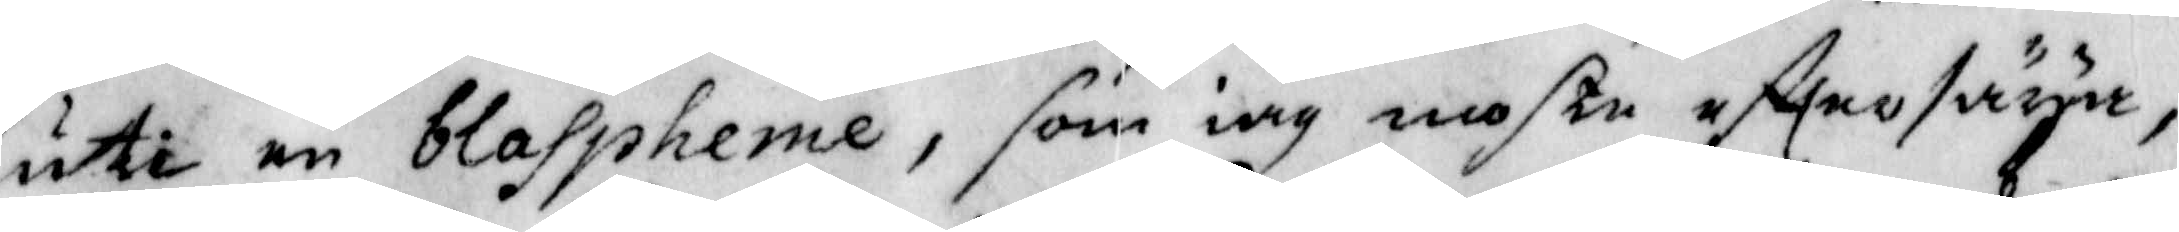uti en blaspheme, som iag moste efttersäya,
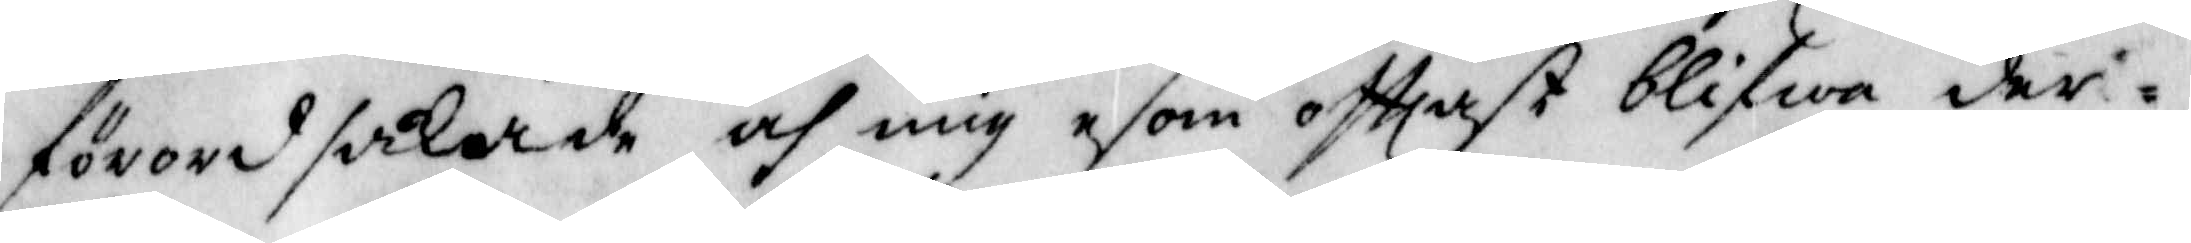förordsakade och mig esom ofttast blifwa der¬
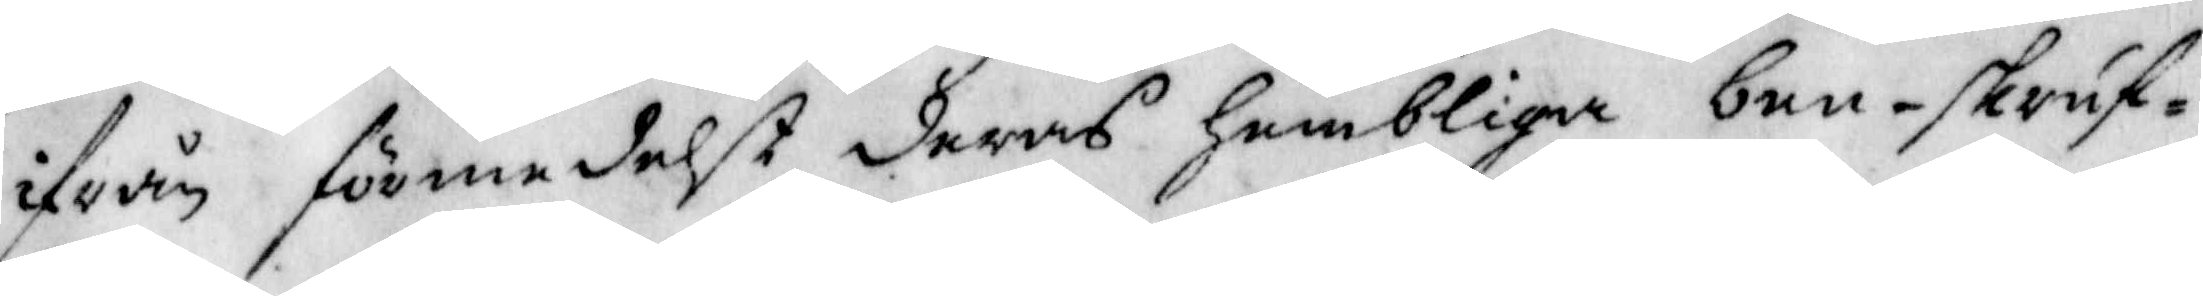ifrån för,edelst deras hemblia ben-skruf¬
